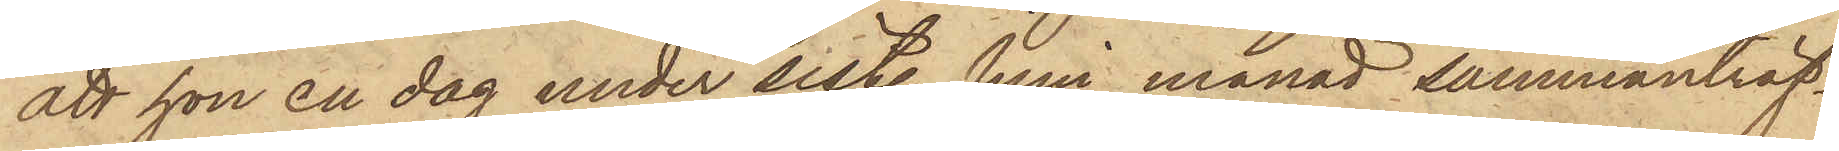att hon en dag under sist. Juni månad sammanträf¬
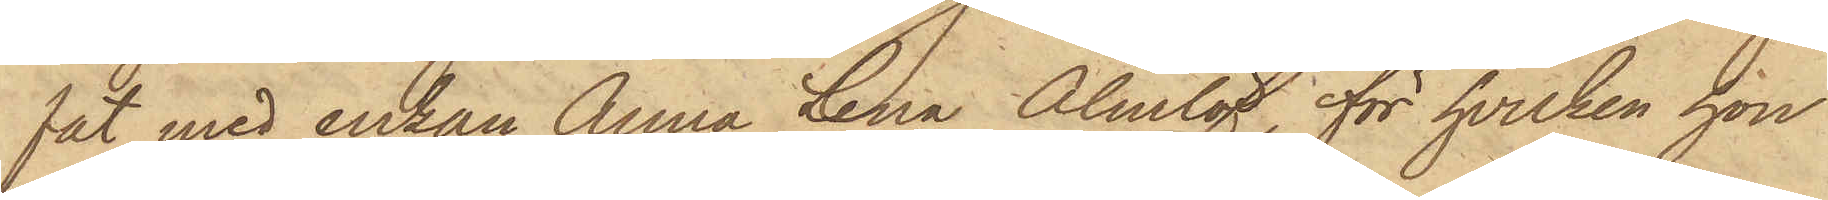fat med enkan Anna Lena Almlöf, för hvilken hon
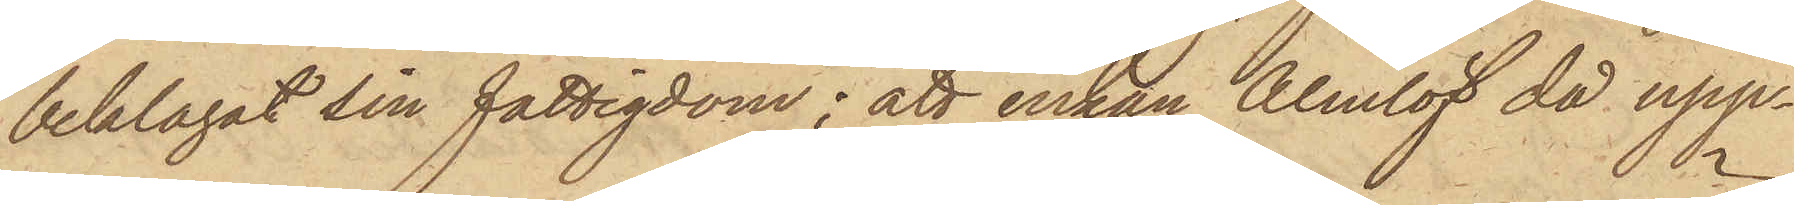beklagat sin fattigdom; att enkan Almlöf då upp¬
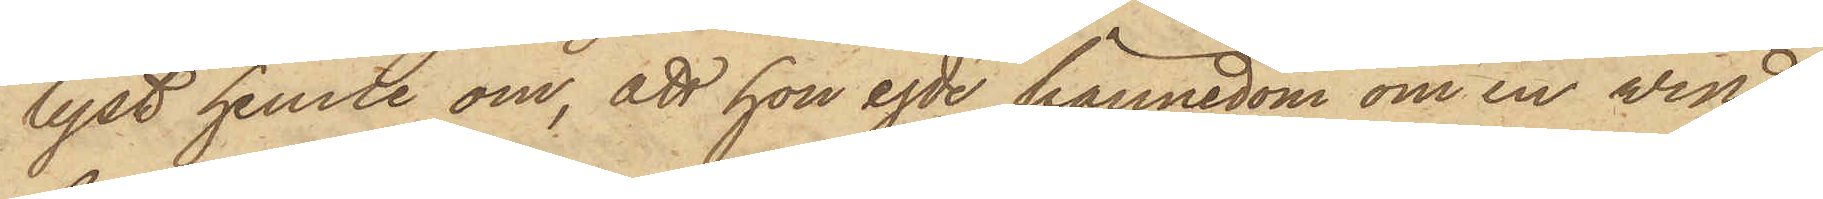lyst henne om, att hon egde kännedom om en vind,
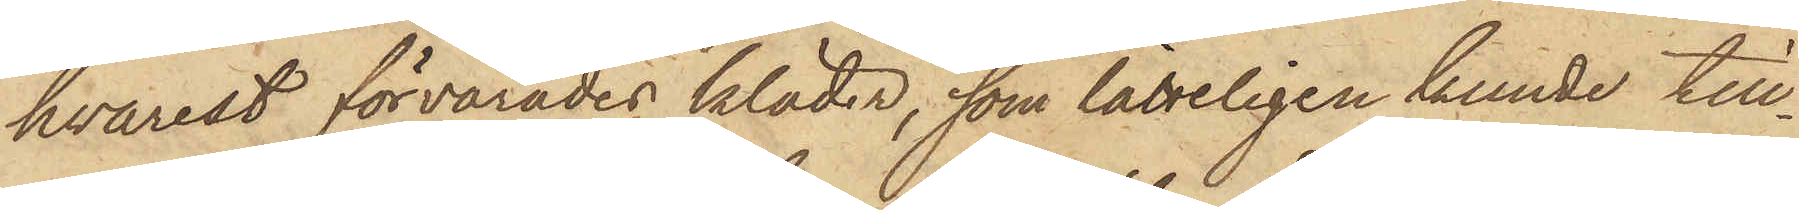hvarest förvarades kläder, som lätteligen kunde till¬
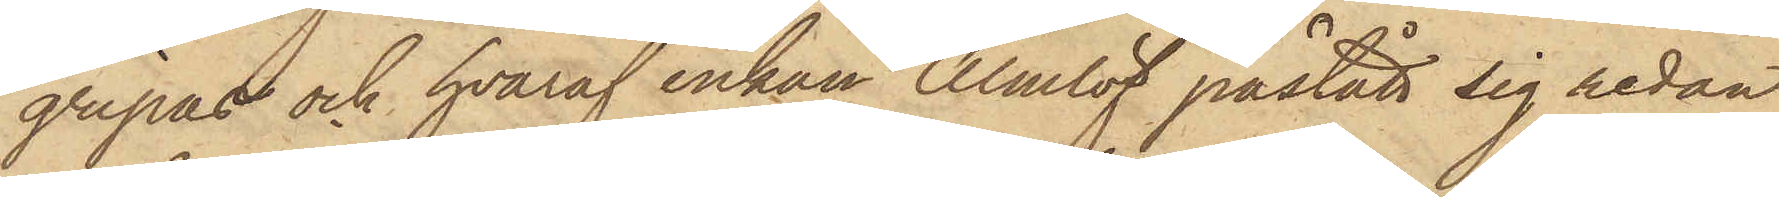gripas och hvaraf enkan Almlöf påstått sig redan
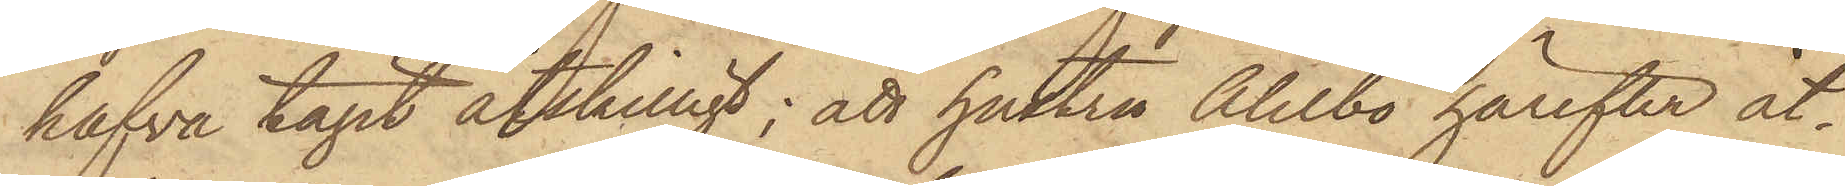hafva tagit åtskilligt; att hustru Ahlbo härefter åt¬
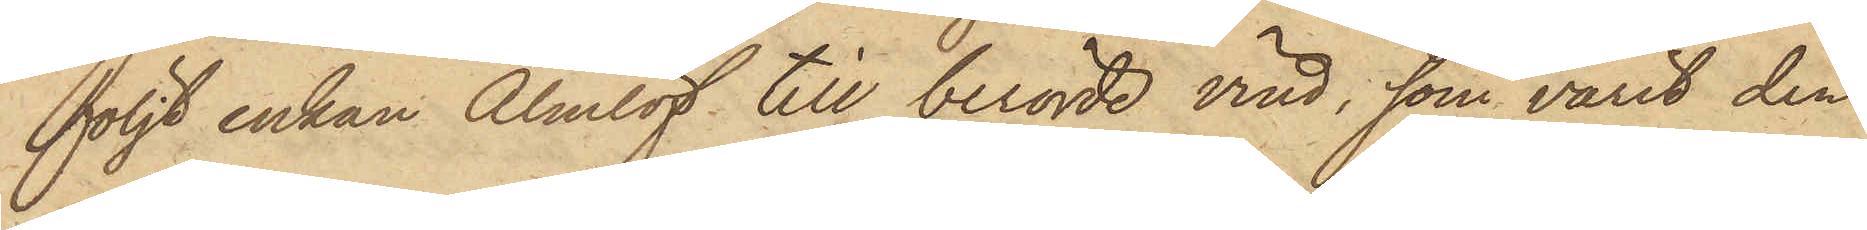följt enkan Almlöf till berörde vind, som varit den
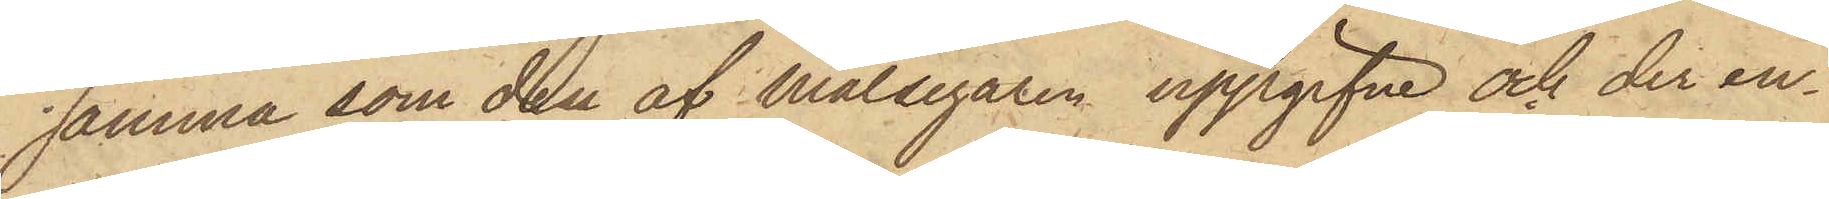samma som den af Målsegaren uppgifne och der en¬
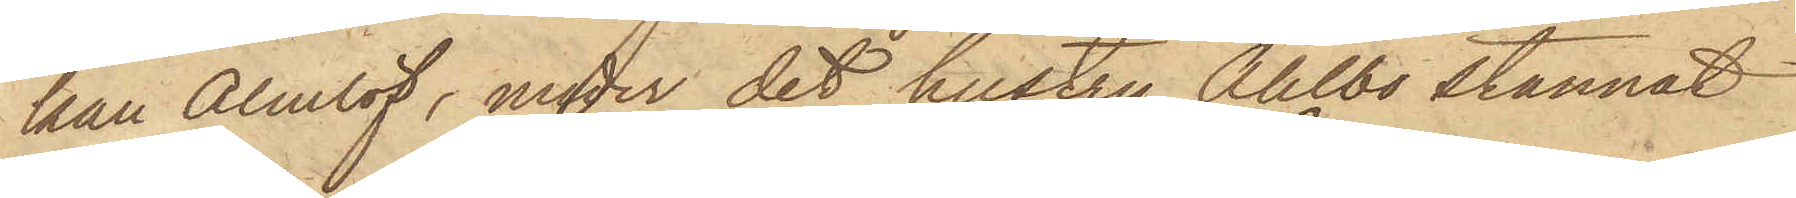kan Almlöf, under det hustru Ahlbo stannat
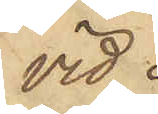vid
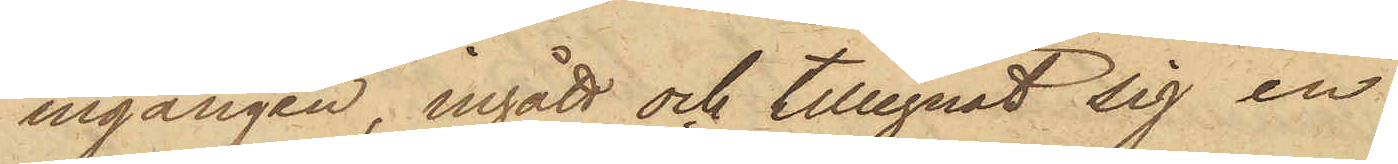ingången, ingått och tillegnat sig en
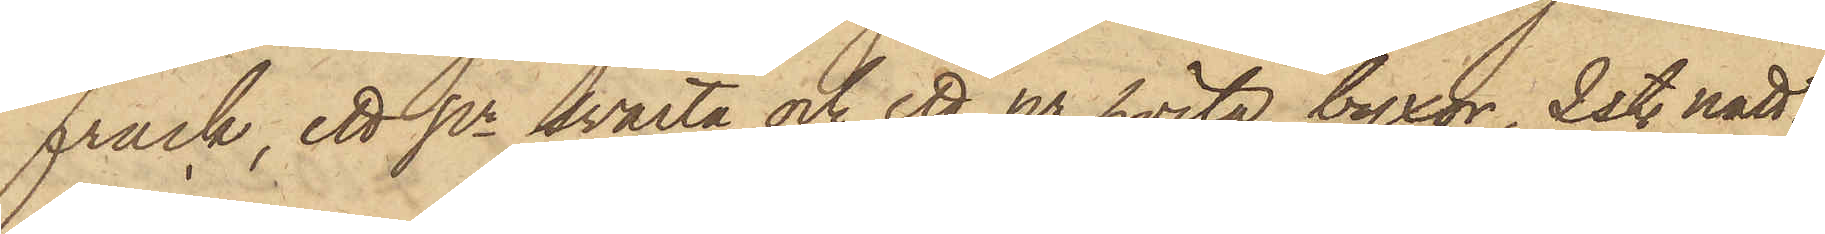frack, ett pr svarta och ett pr hvita byxor, 2 st. natt¬
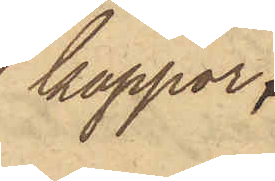kappor,
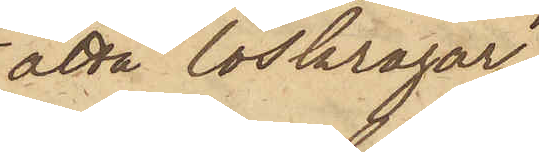åtta löskragar,
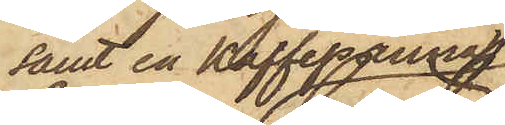samt en kaffepanna,
